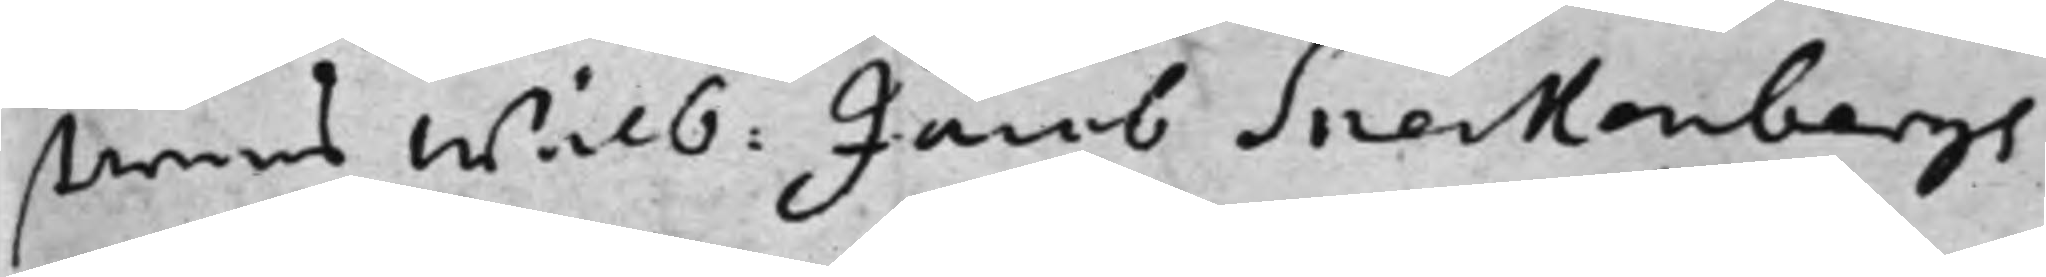tarens Wälb: Jacob Sneckenbergs 
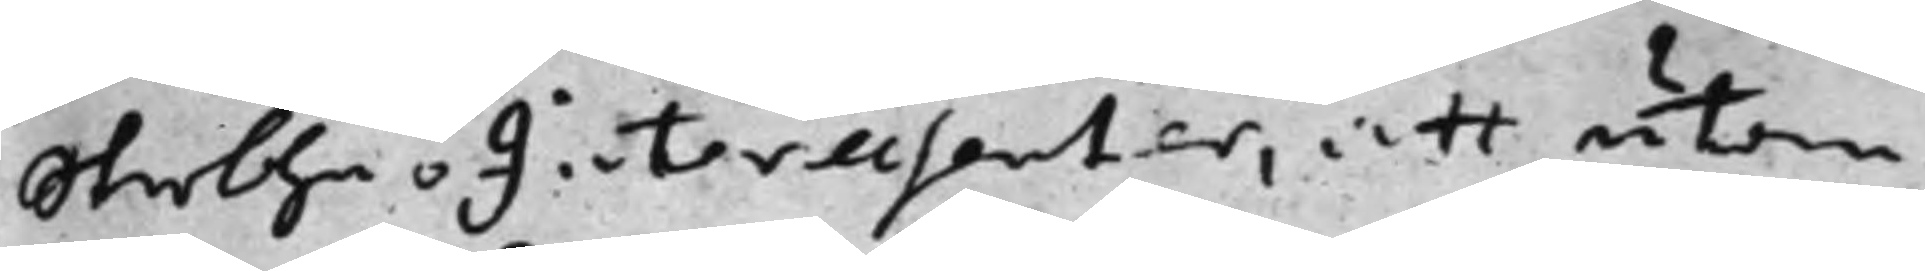SterbhusInteressenter, att utan
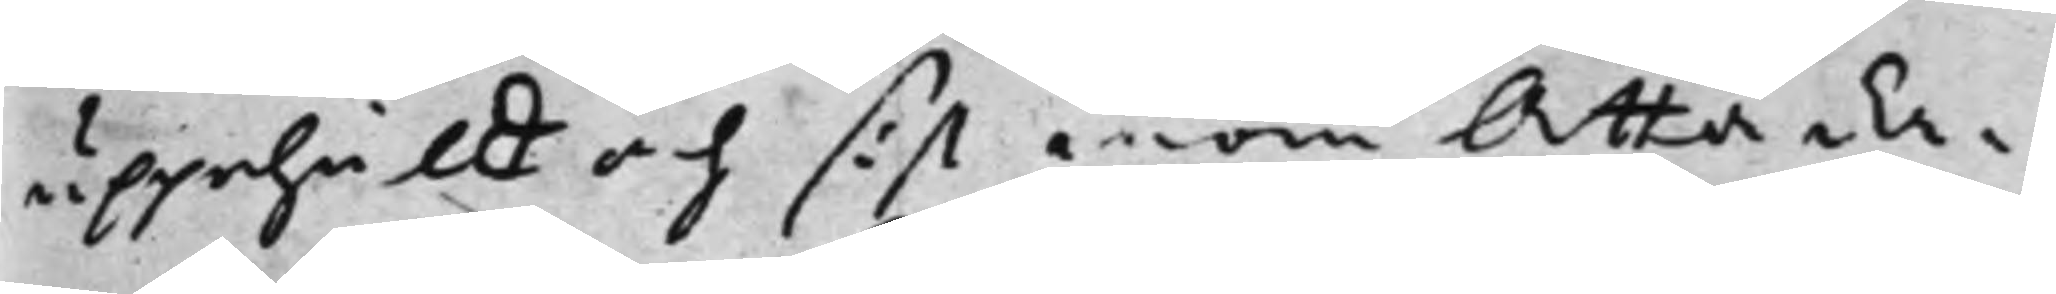uppehåll och sist inom Åtta da¬
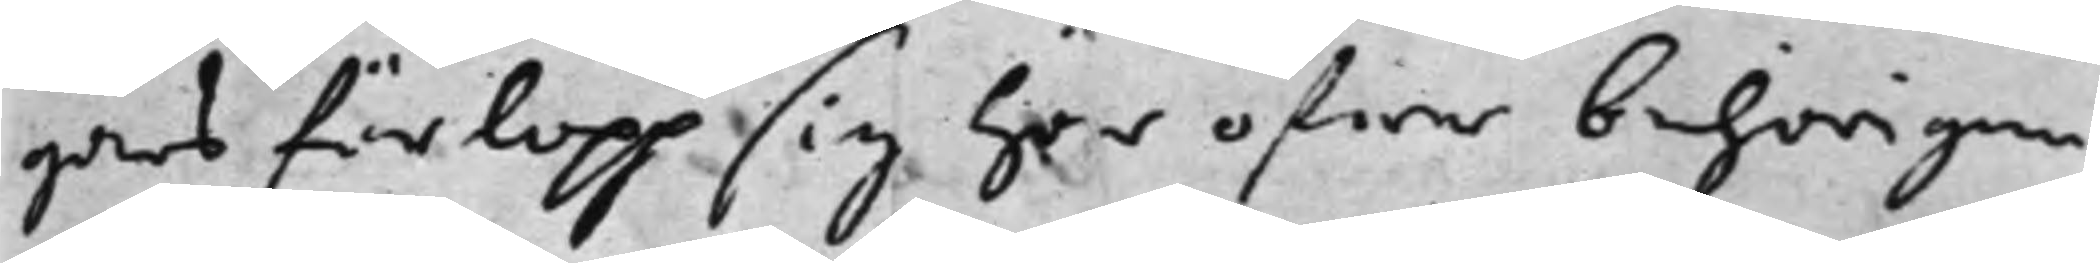gars förlopp sig här öfwer behörigen
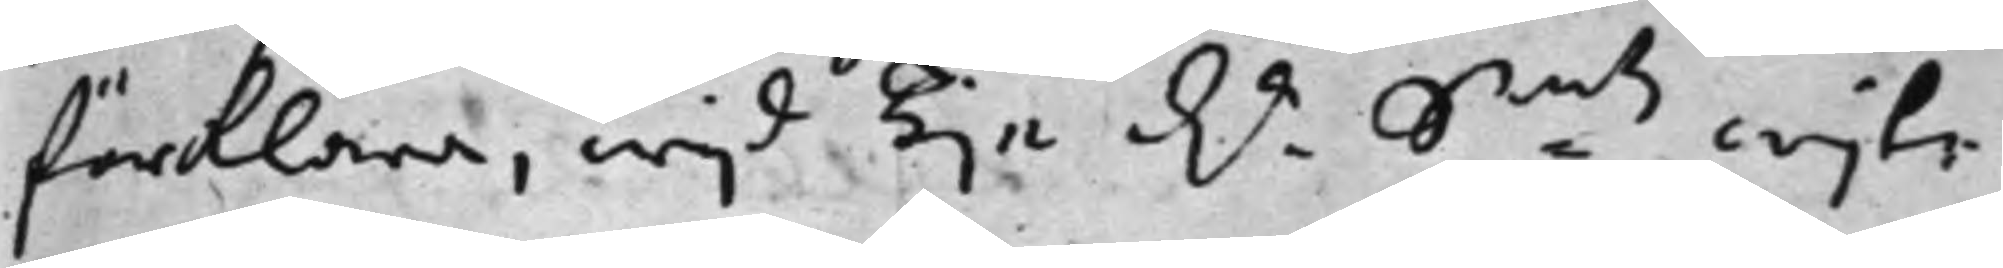förklara, wijd Tije d.r S:mts wijte. 
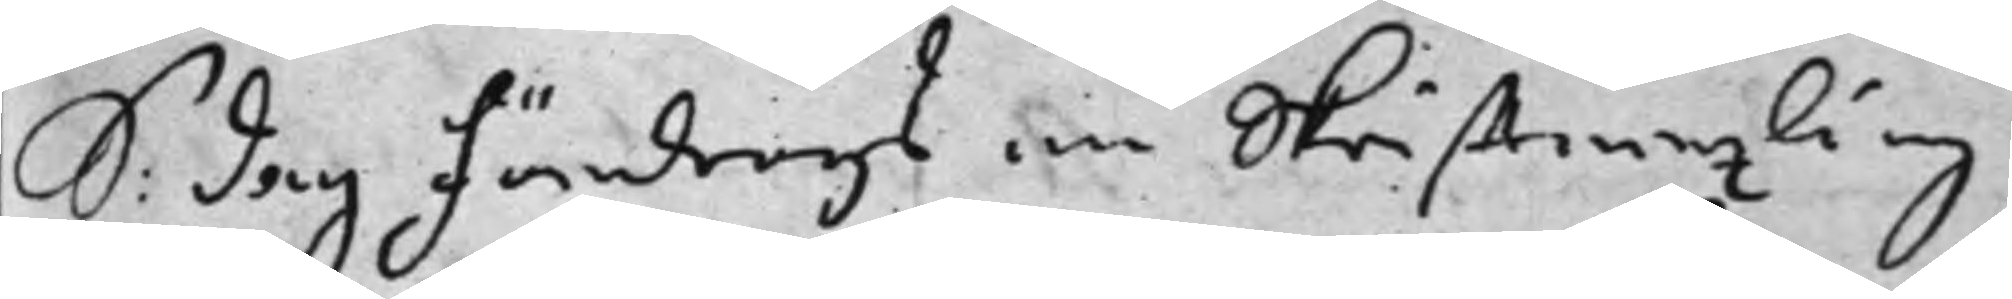S: dag Föredrogs en Skrifftwäxling
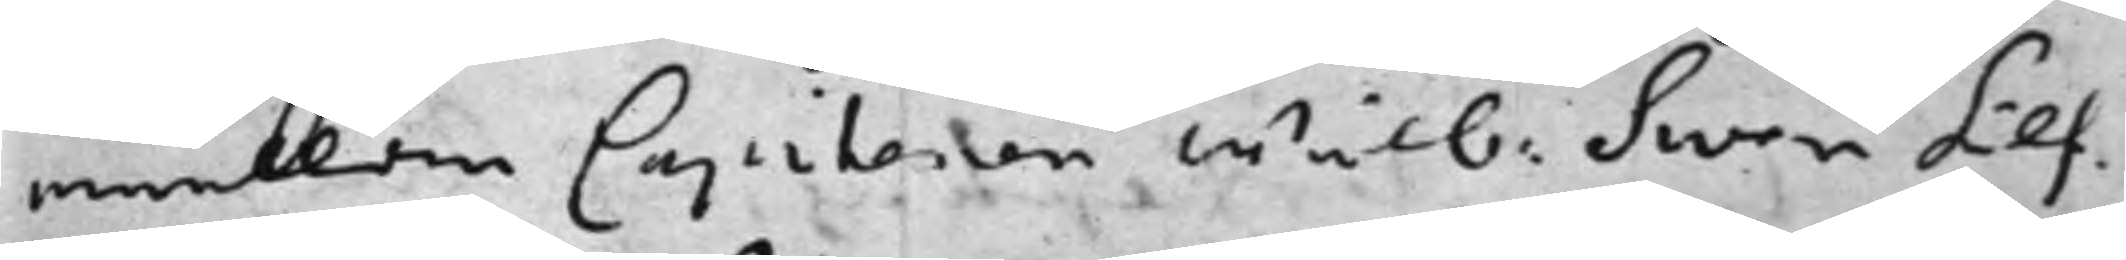emellan Capitenen Wälb: Swen Silf¬ 
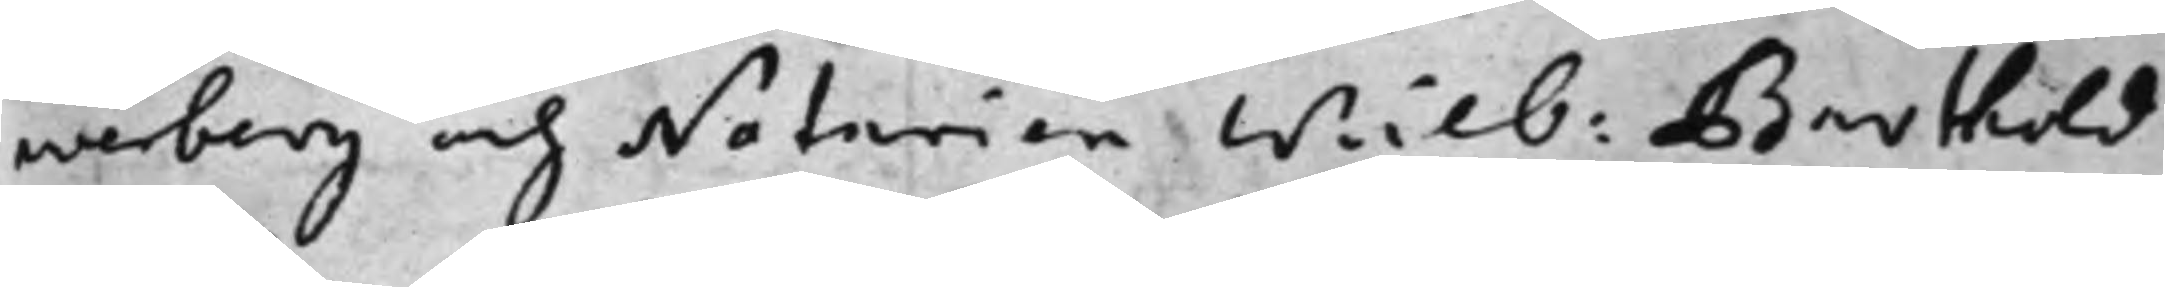werberg och Notarien Wälb: Barthold 
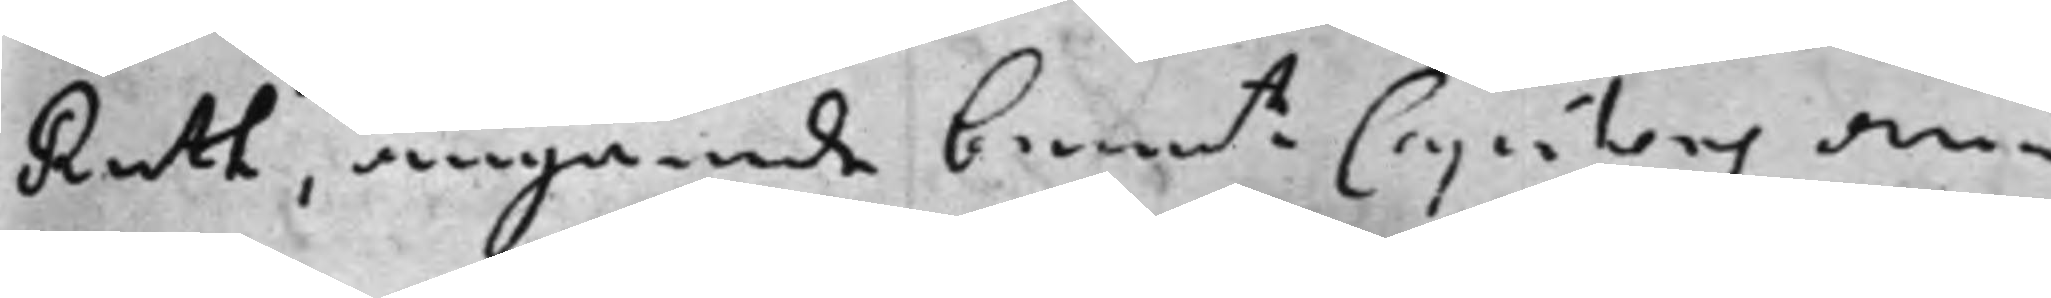Ruth, angående benete Capitens an¬ 
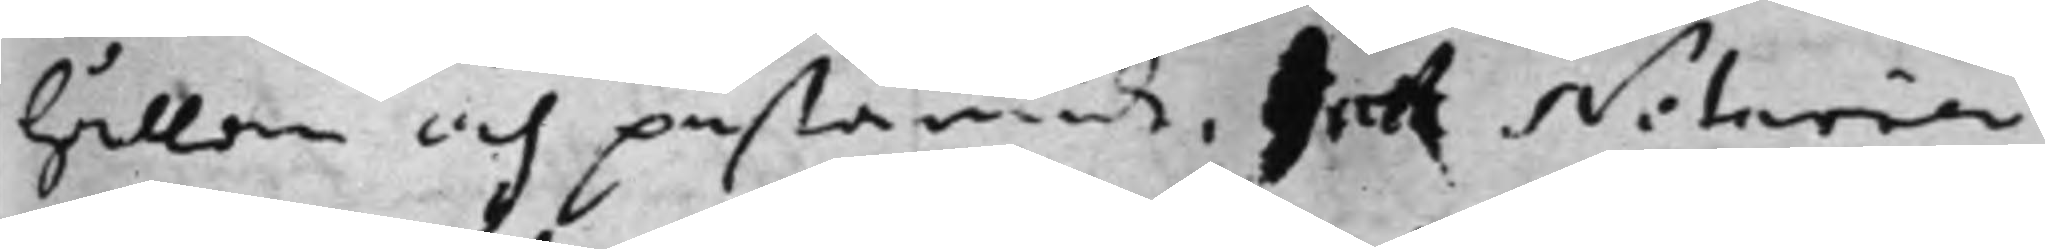hållan och påstående, det Notarien 
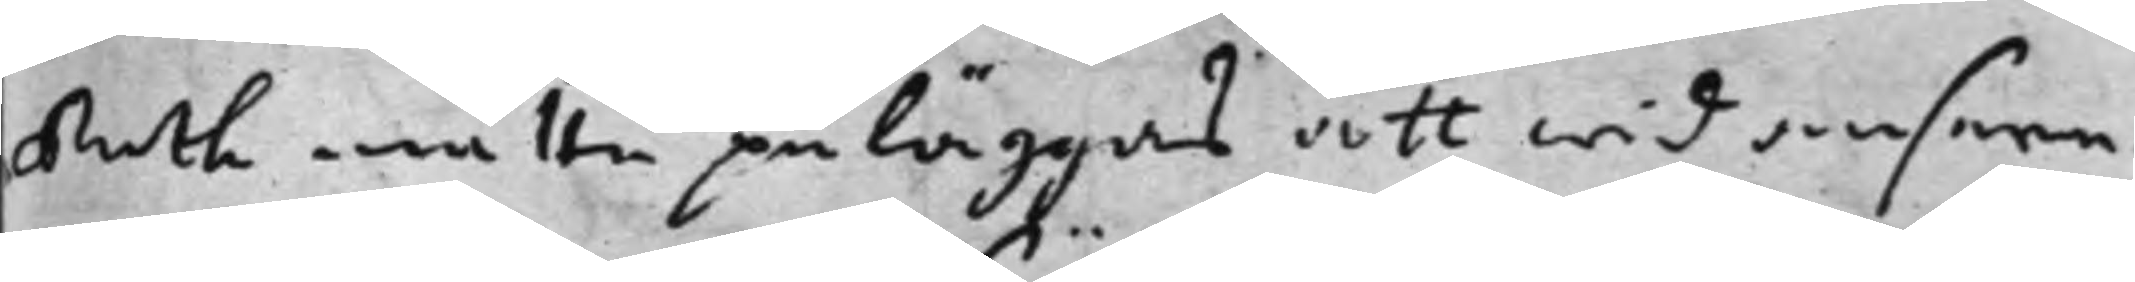Ruth måtte påläggas att wid anseen¬
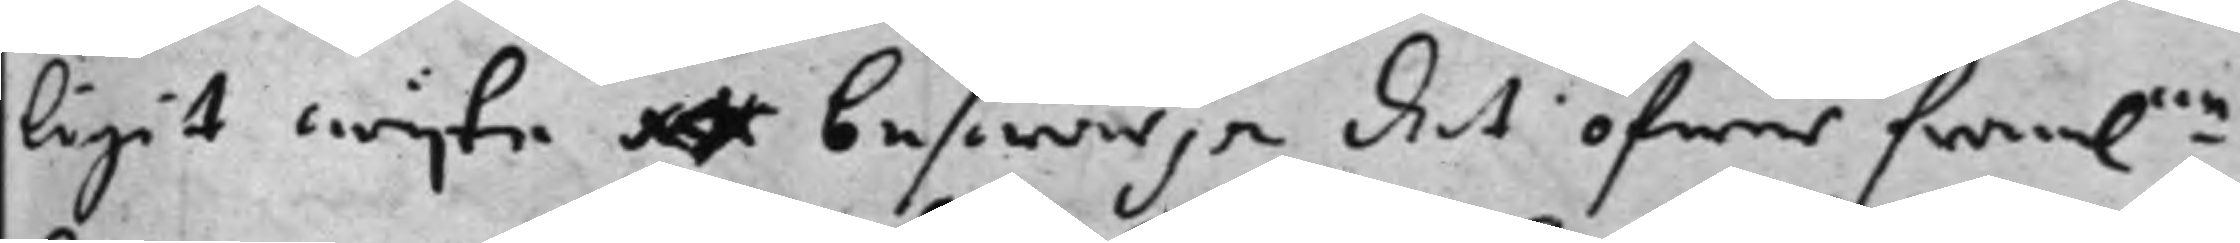ligit wijte att beswärja det öfwer fram:ne 
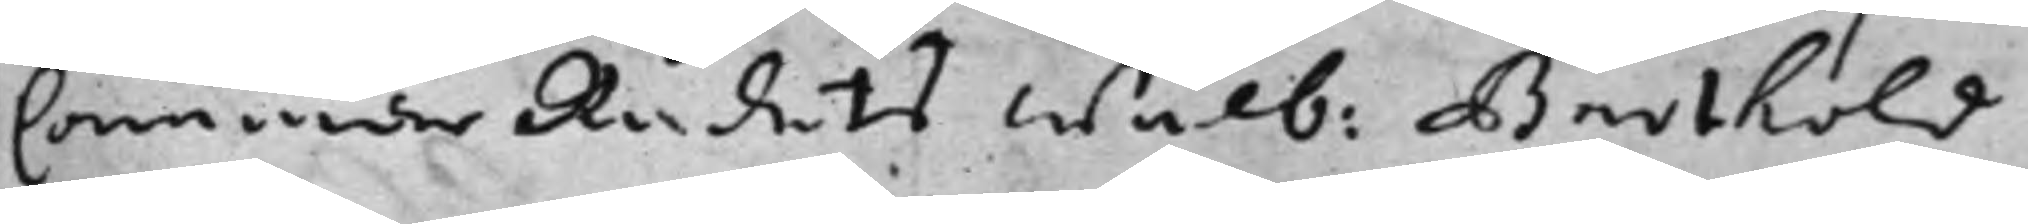Cammar Rådets Wälb: Barthold 
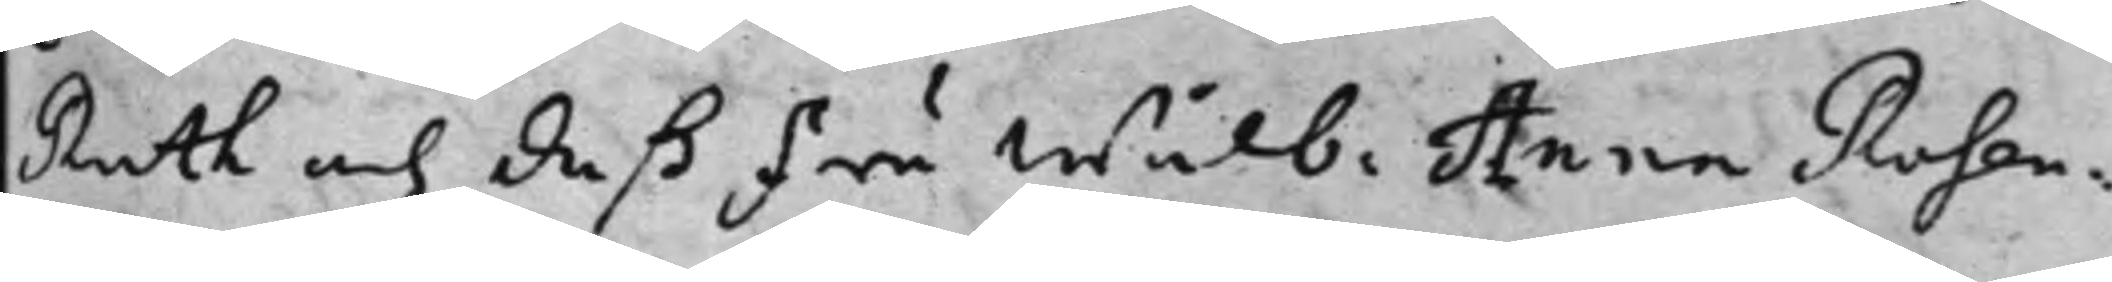Ruth och deß Fru Wälb: Anna Rosen¬ 
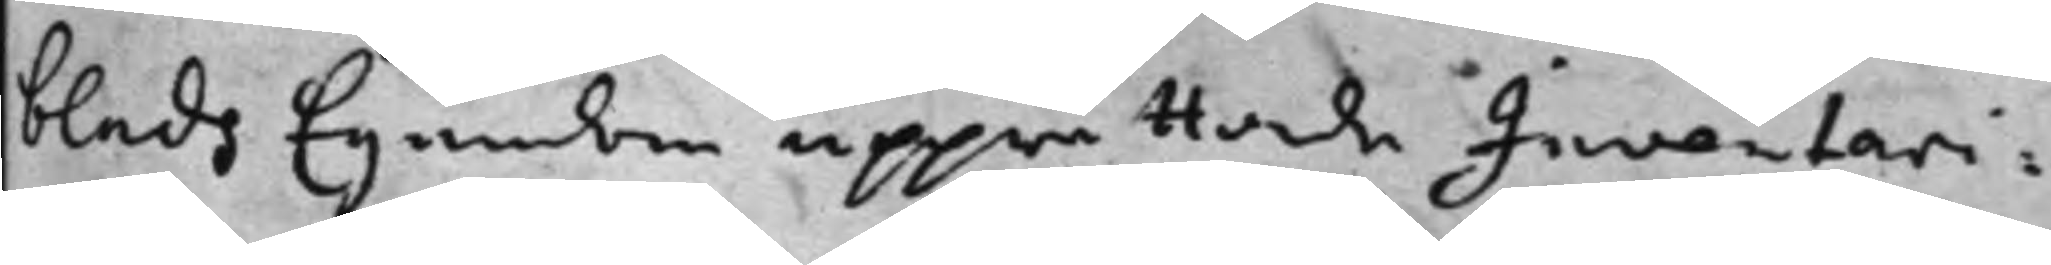blads Egendom upprättae Inventari¬
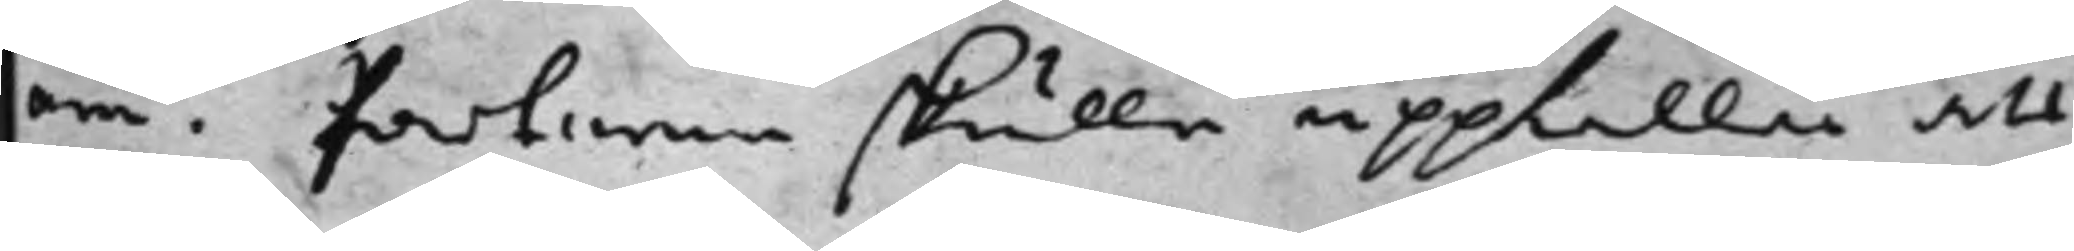um. Parterne skulle uppkalla att
